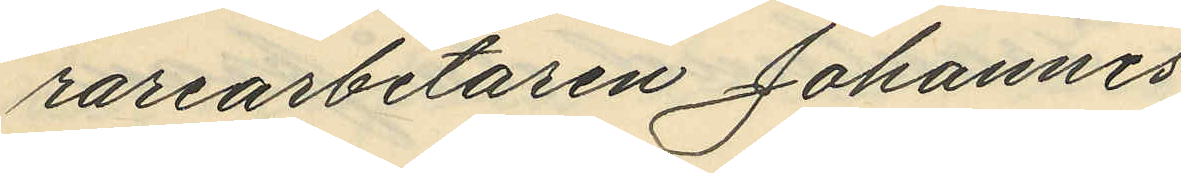rarearbetaren Johannes
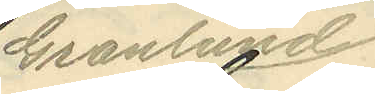Granlund
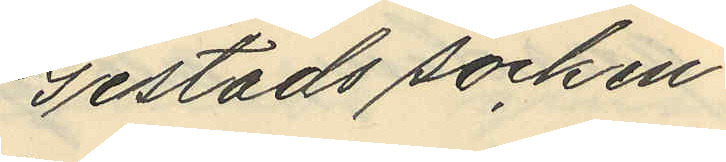Gestads socken
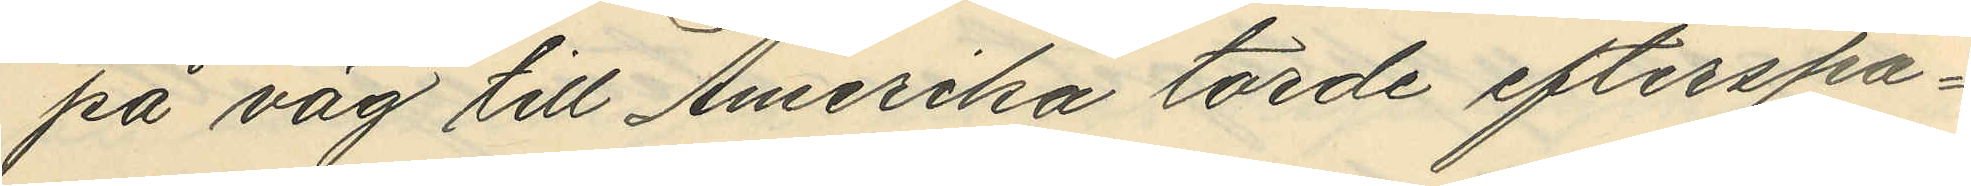på väg till Amerika torde efterspa¬
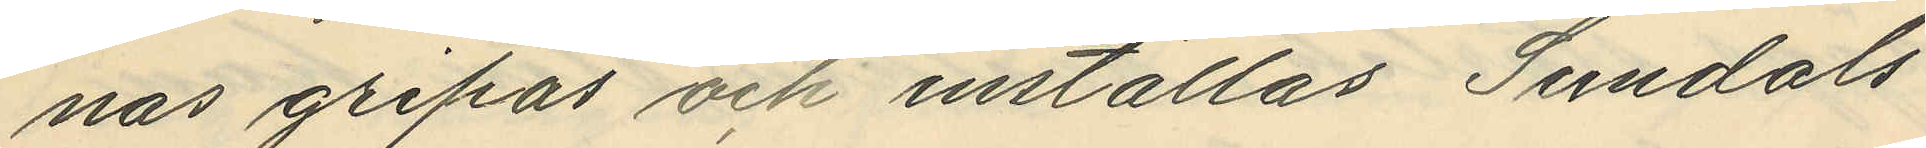nas gripas och inställas Sundals
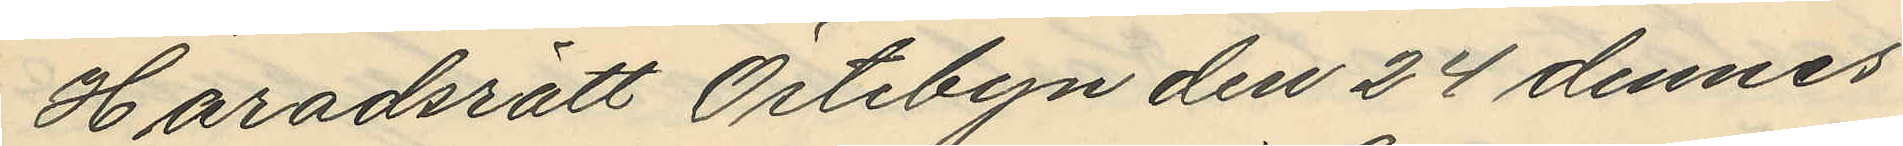Häradsrätt Östebyn den 24 dennes
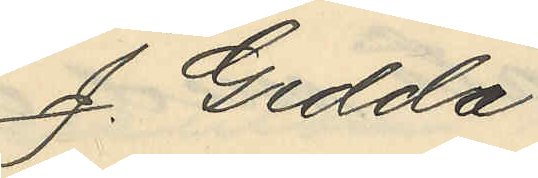J. Gedda
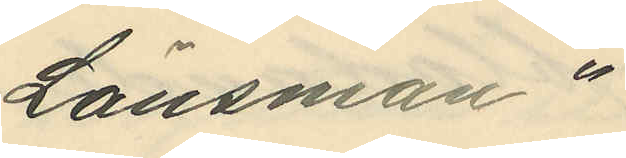Länsman"
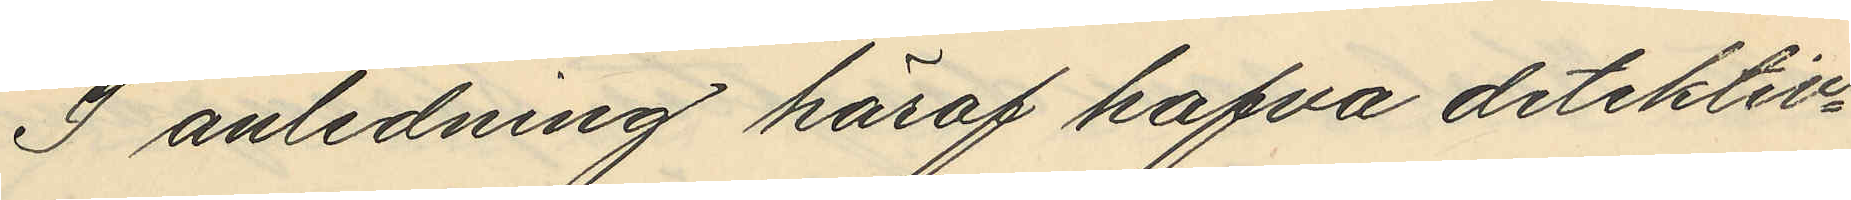I anledning häraf hafva detektiv¬
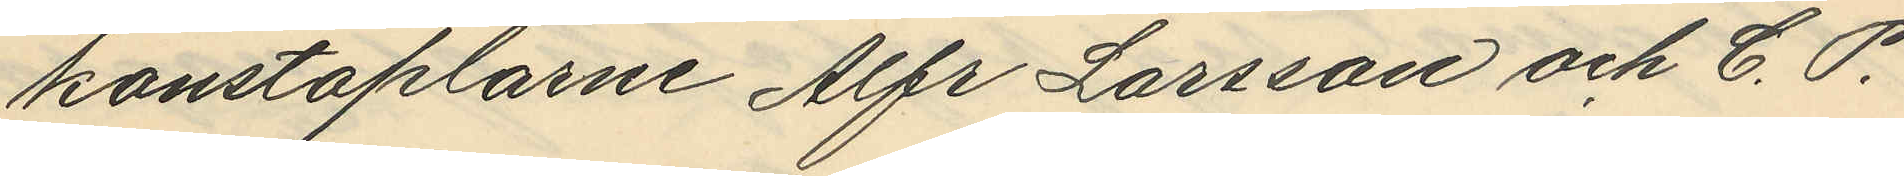konstaplarne Alfr Larsson och C. P.
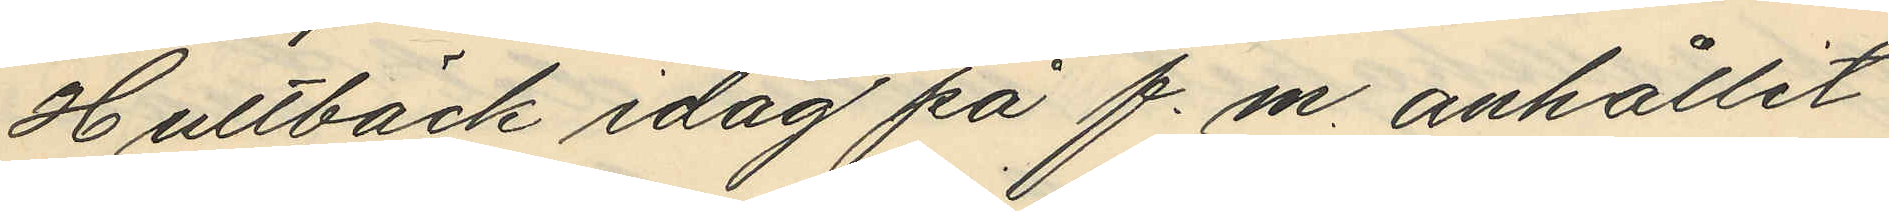Hultbäck idag på f.m. anhållit
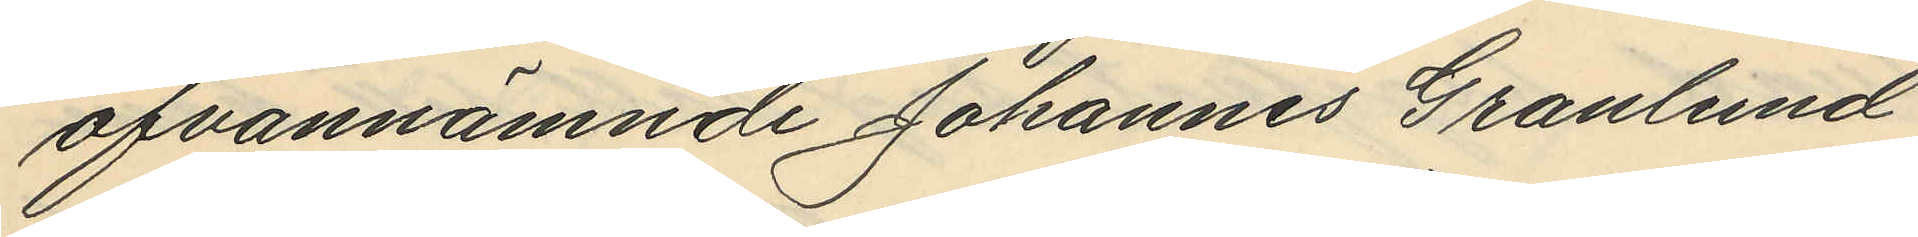ofvannämnde Johannes Granlund
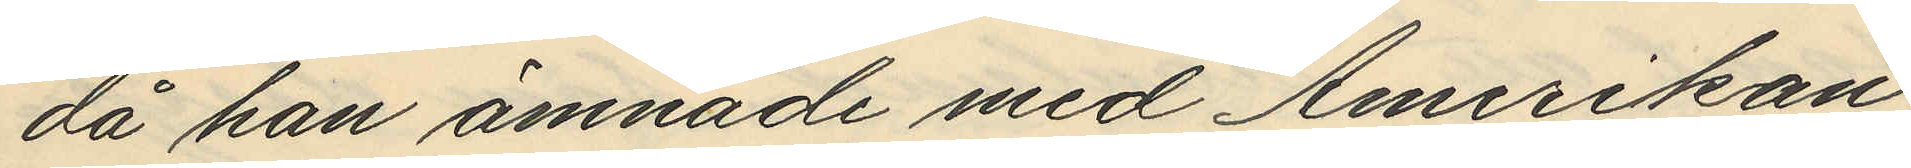då han ämnade med Amerikan
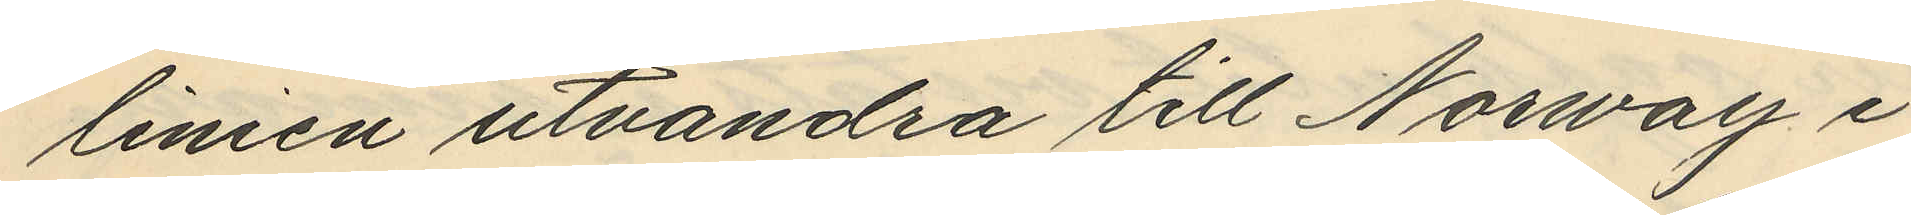linien utvandra till Norway i
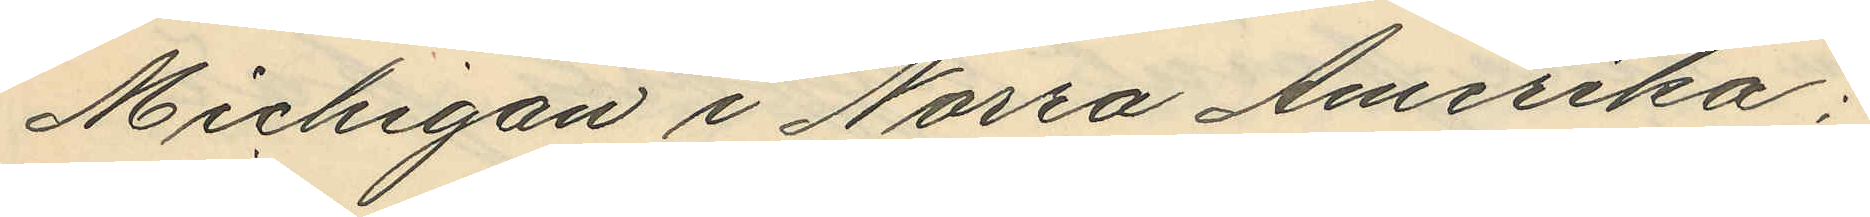Michigan i Norra Amerika,
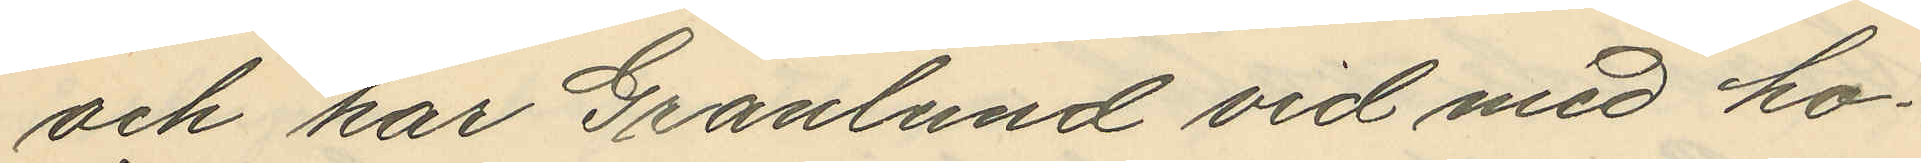och har Granlund vid med ho¬
